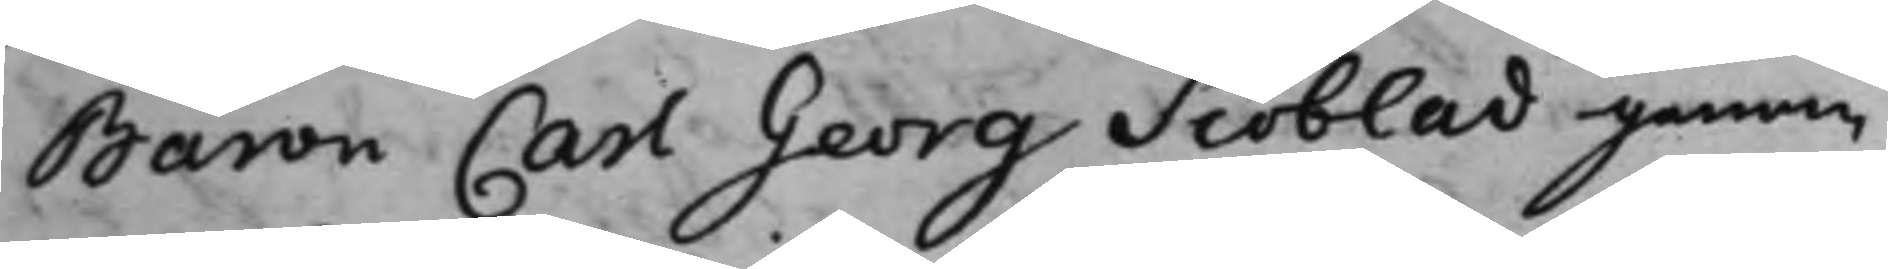Baron Carl Georg Siöblad genom
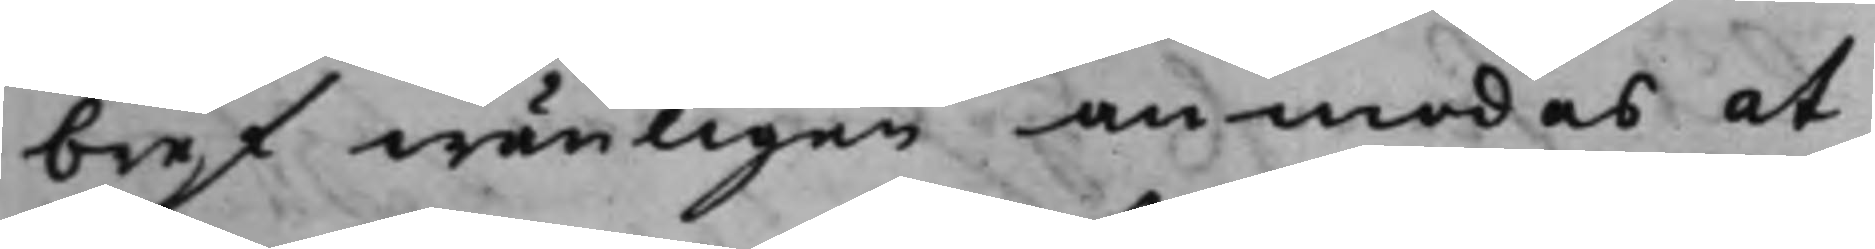bref wänligen anmodas at
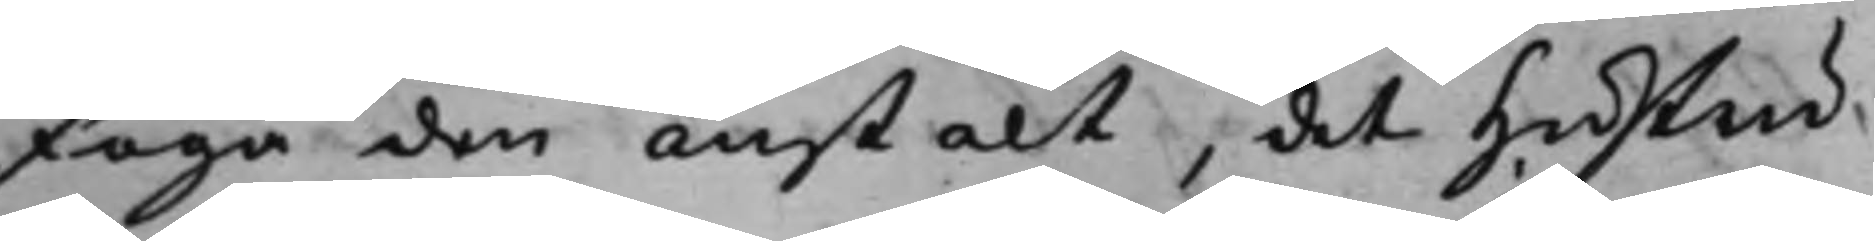foga den anstalt, det Hustru
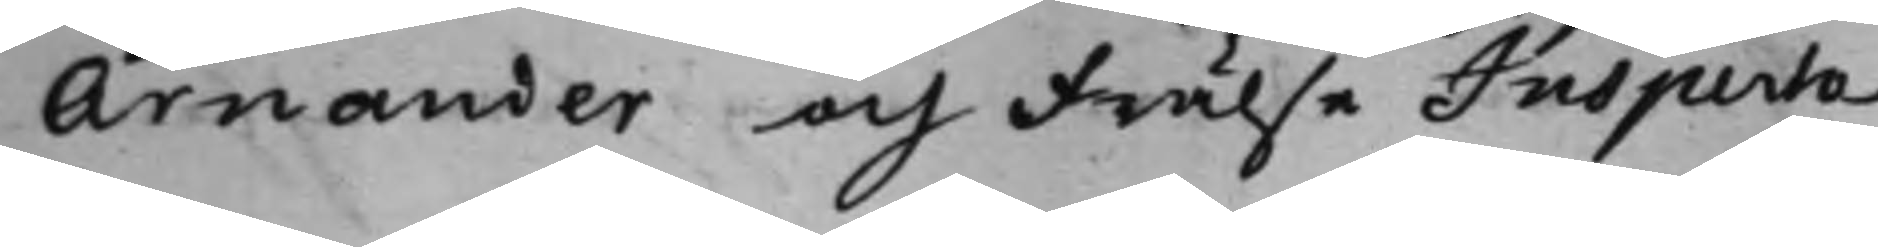Arnander och Frälse Inspecto¬
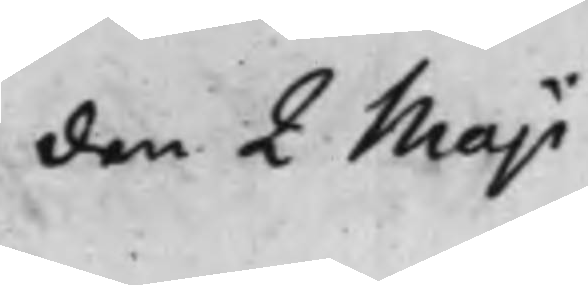den 2 Maji
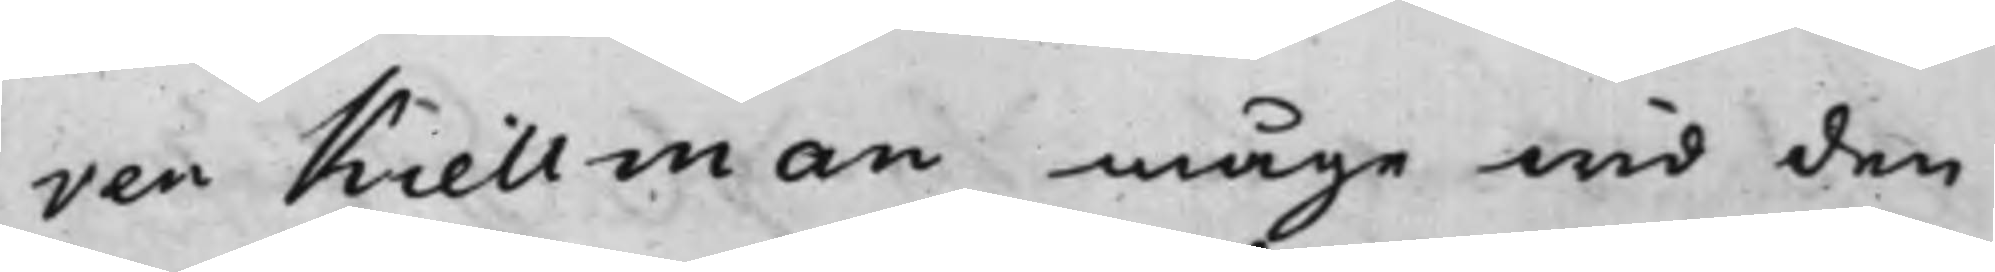ren Kiellman måge wid den
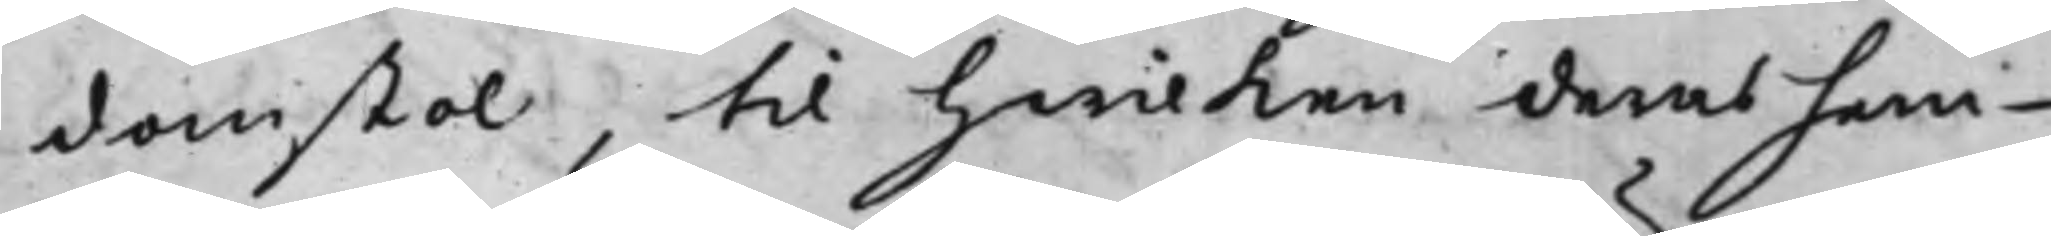domstol, til hwilken deras hem¬
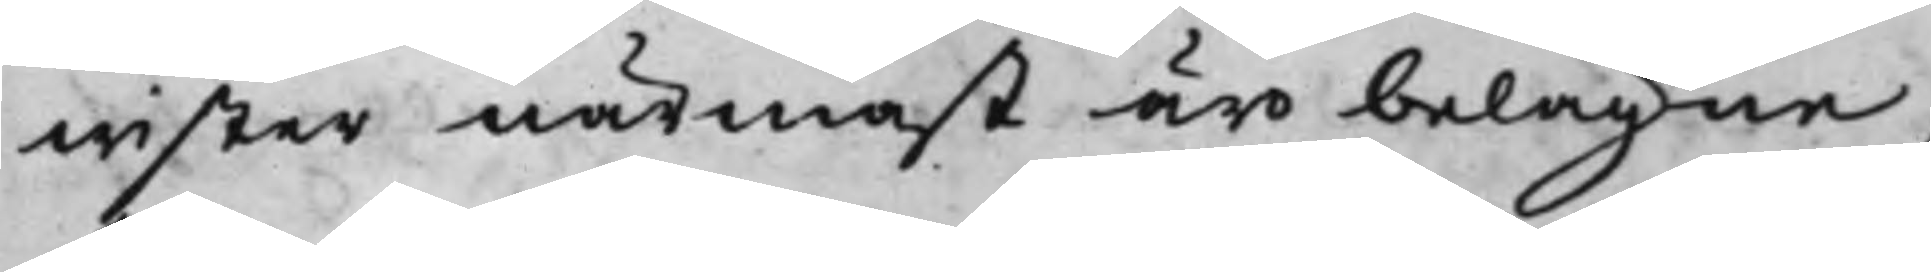wister närmast äro belägne,
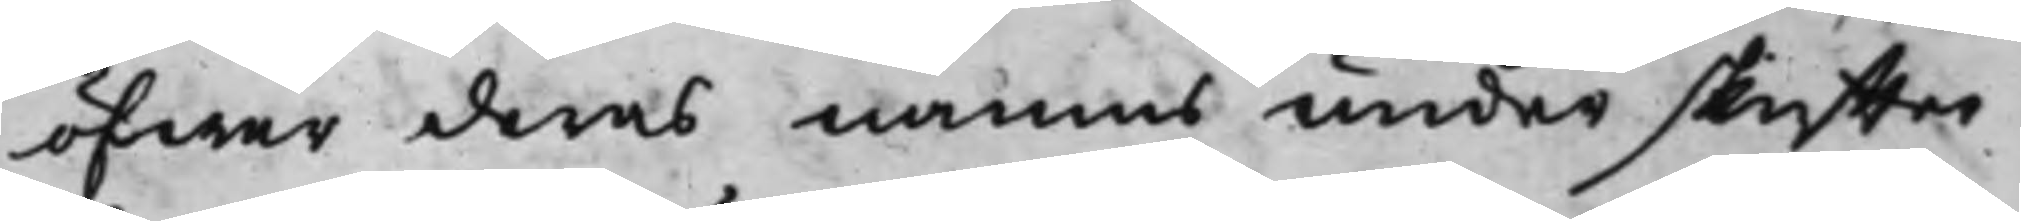öfwer deras namns underskrifter
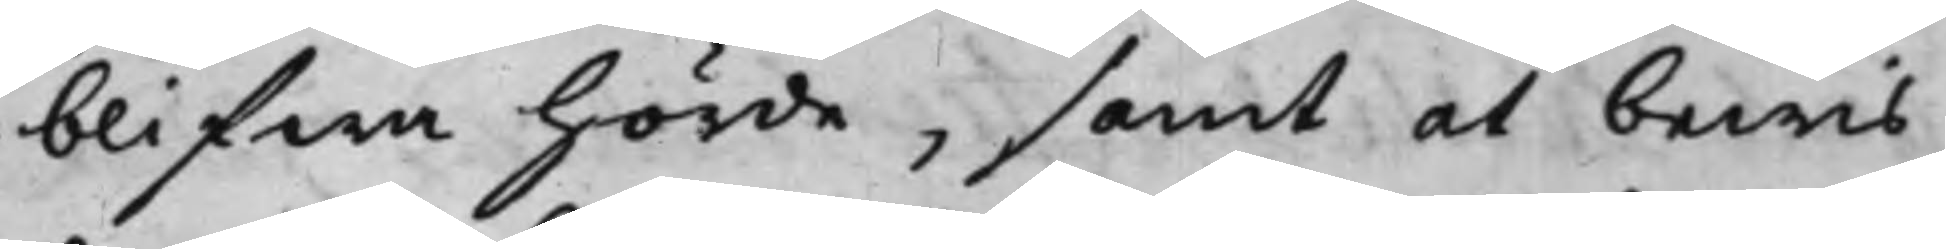blifwa hörde, samt at bewis
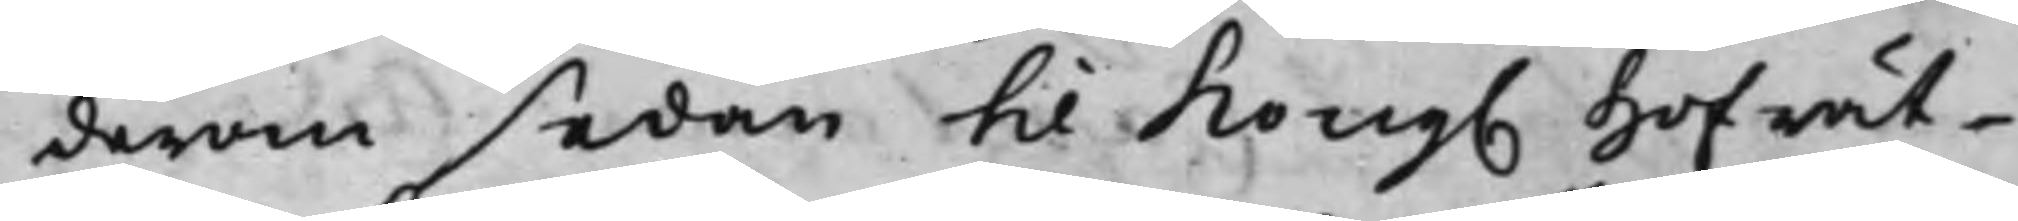derom sedan till Kong. Hofrät¬
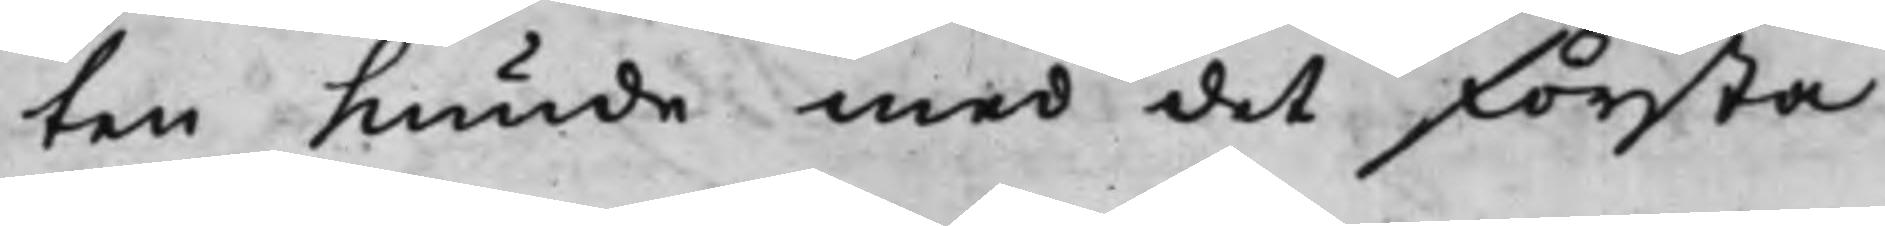ten Kunde med det första
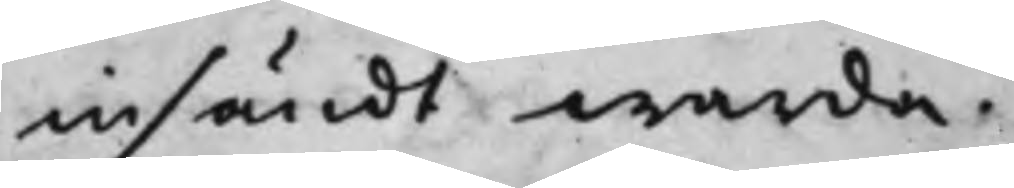insändt warda.
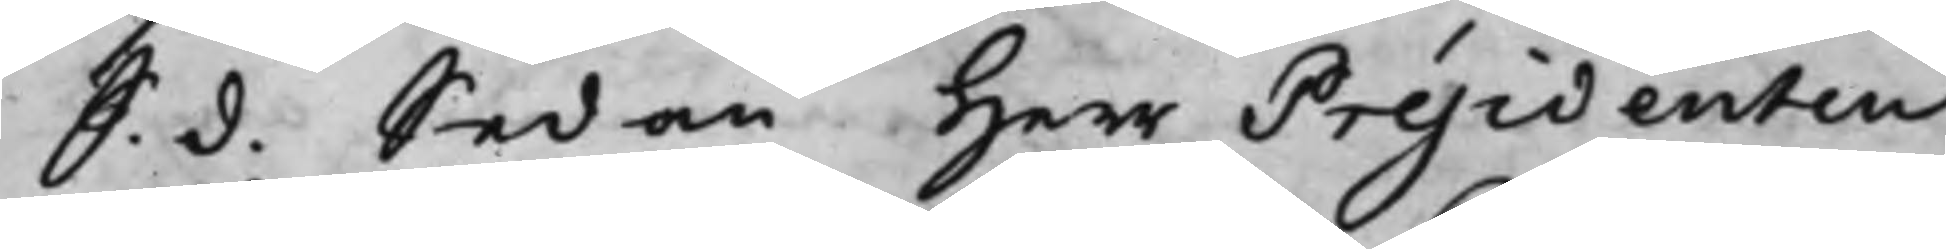S. d. Sedan Herr Présidenten
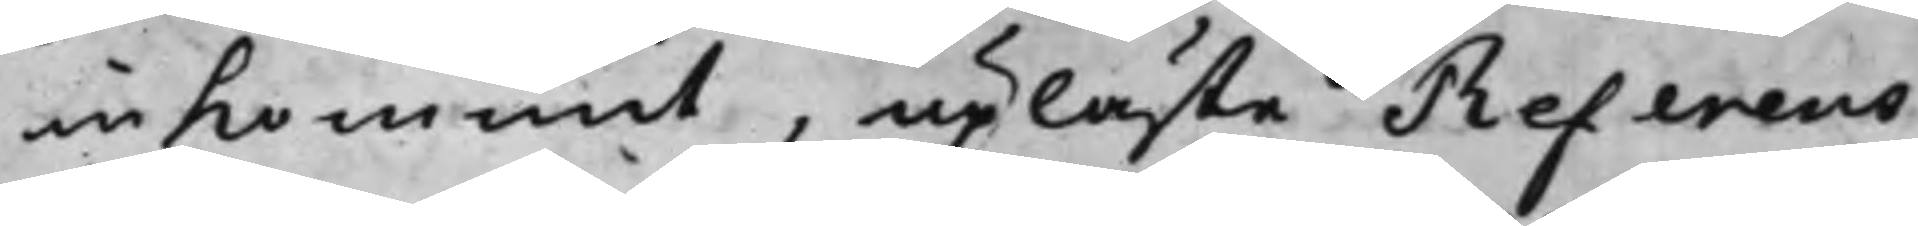in Kommit, upläste Referens¬
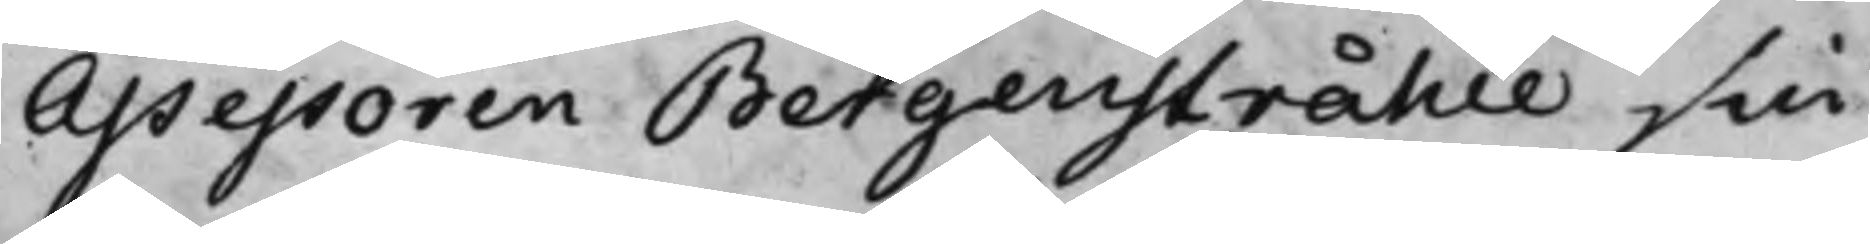Assessoren Bergenstråhle sin
